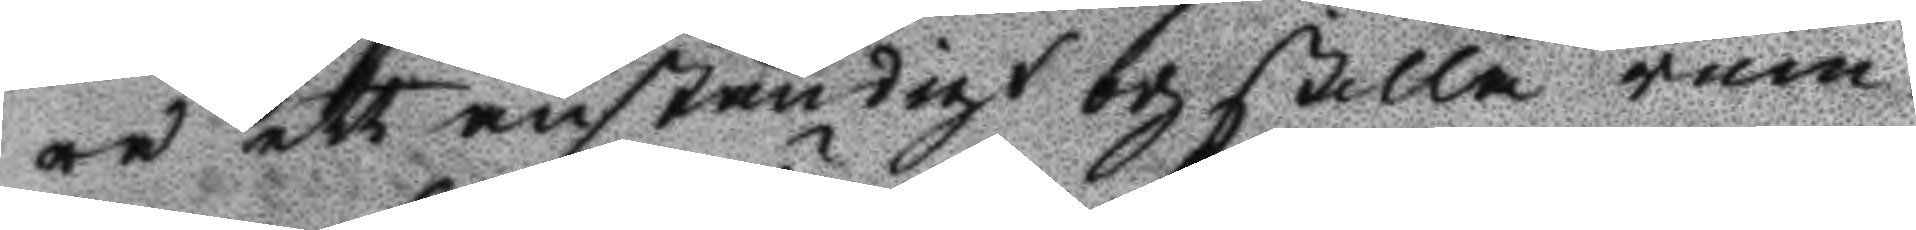ra ett anständigt och stilla rum,
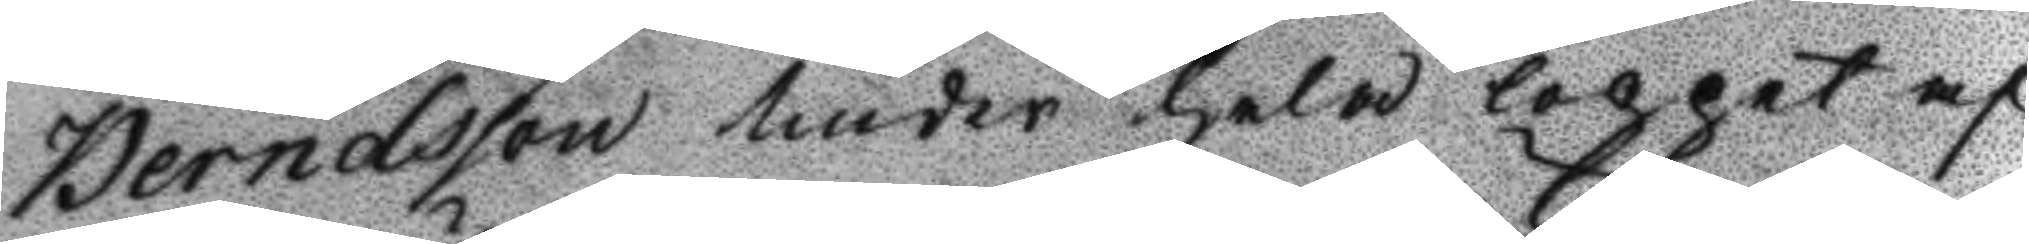Berndtsson under hela loppet af
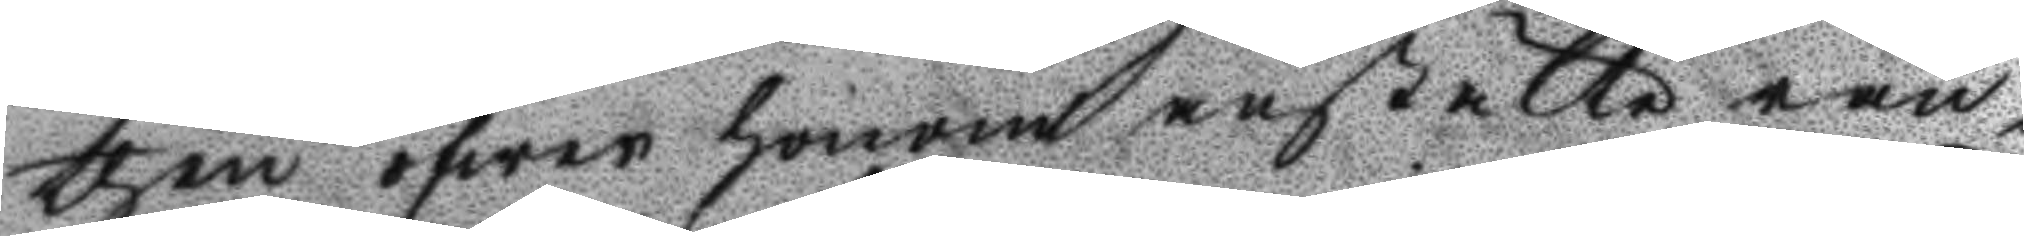then öfwer honom anstälte ran¬
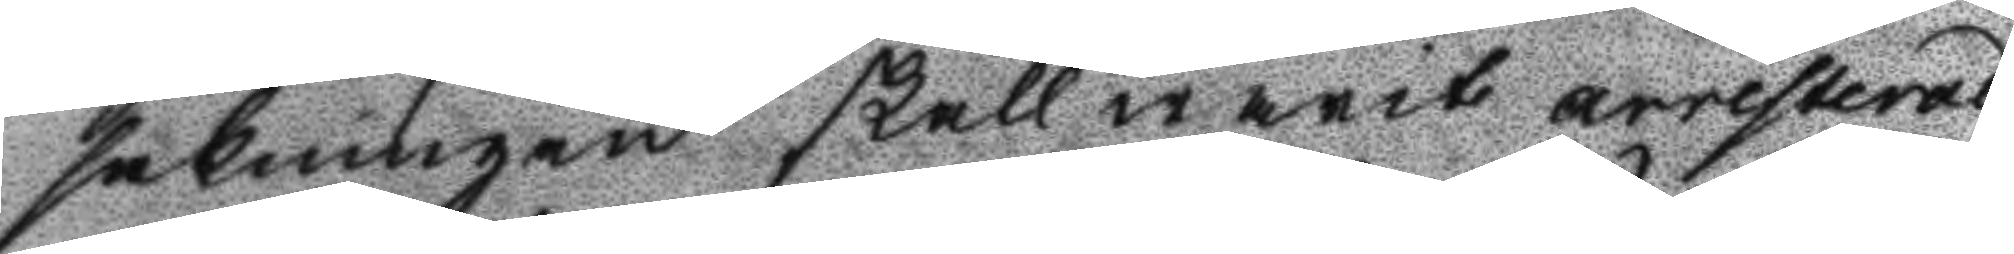sakningen skall warit arresterad
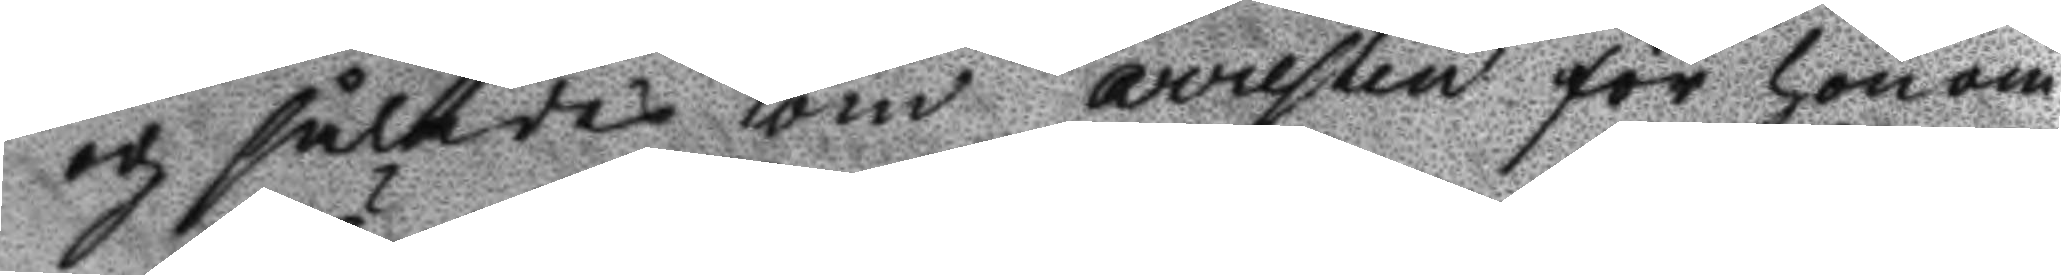och således om arresten för honom
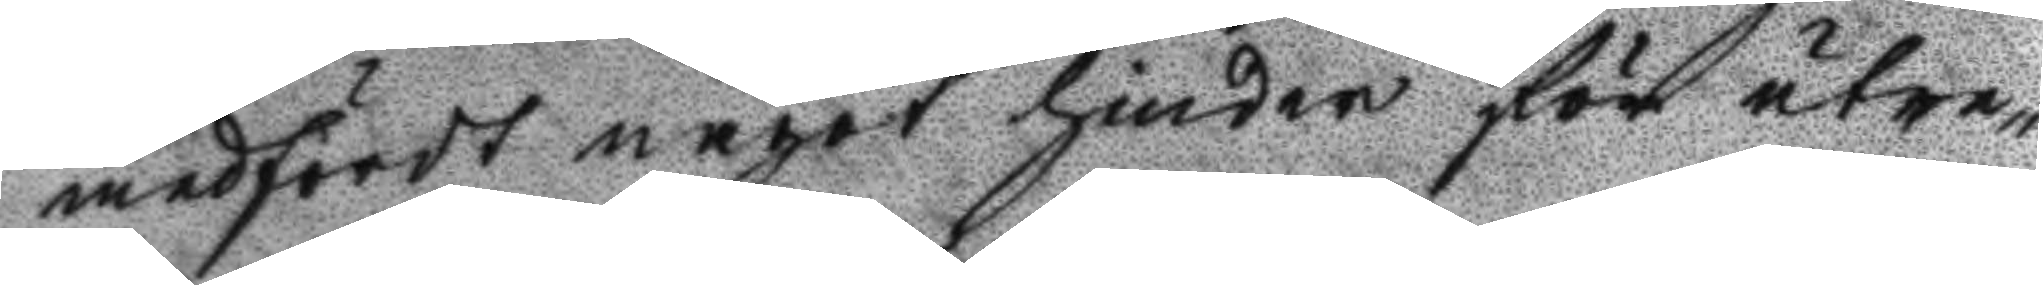medfördt något hinder för utre¬
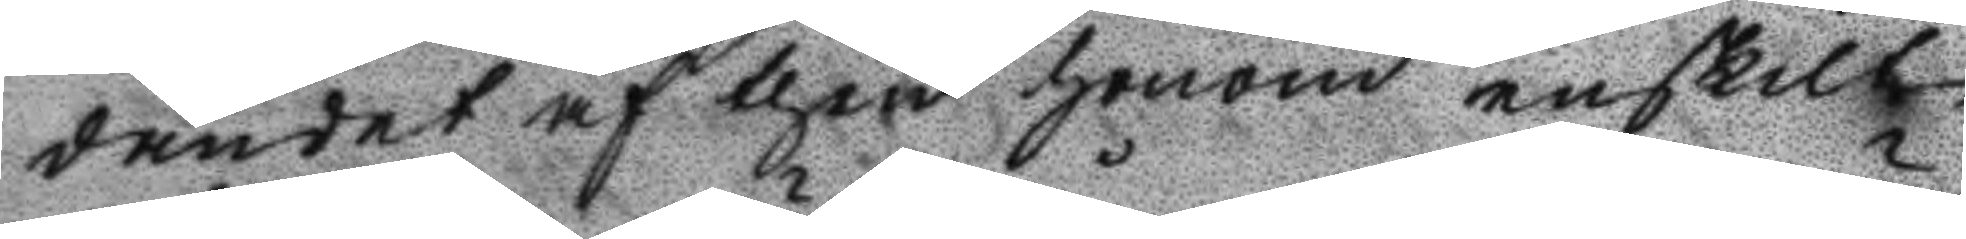dandet af then honom enskilt
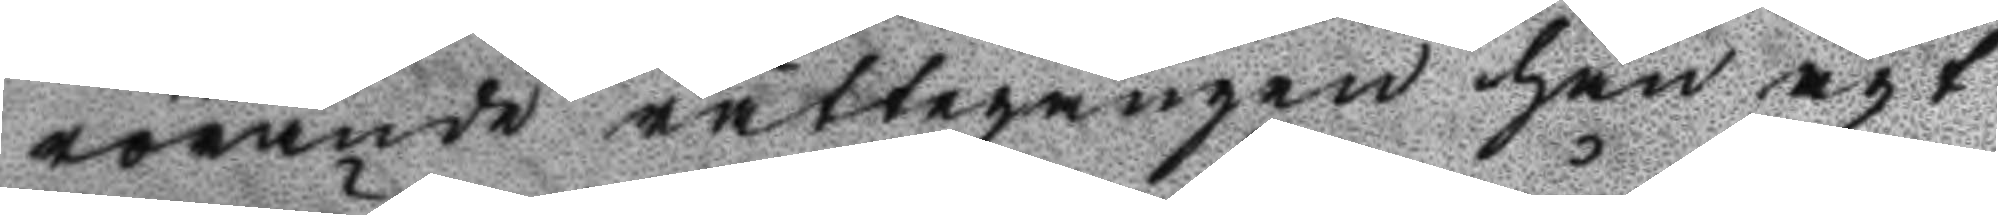rörande rättegången han ägt
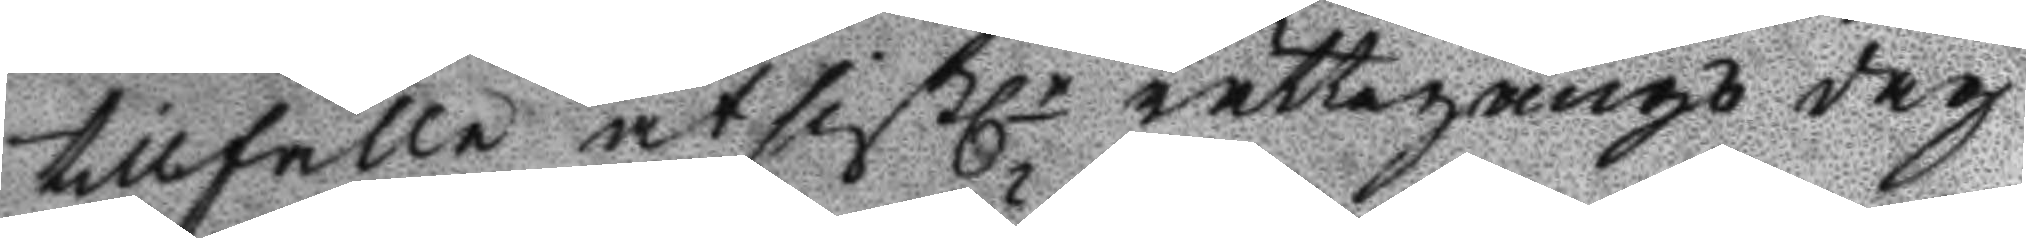tillfälle at sistle rättegångs dag
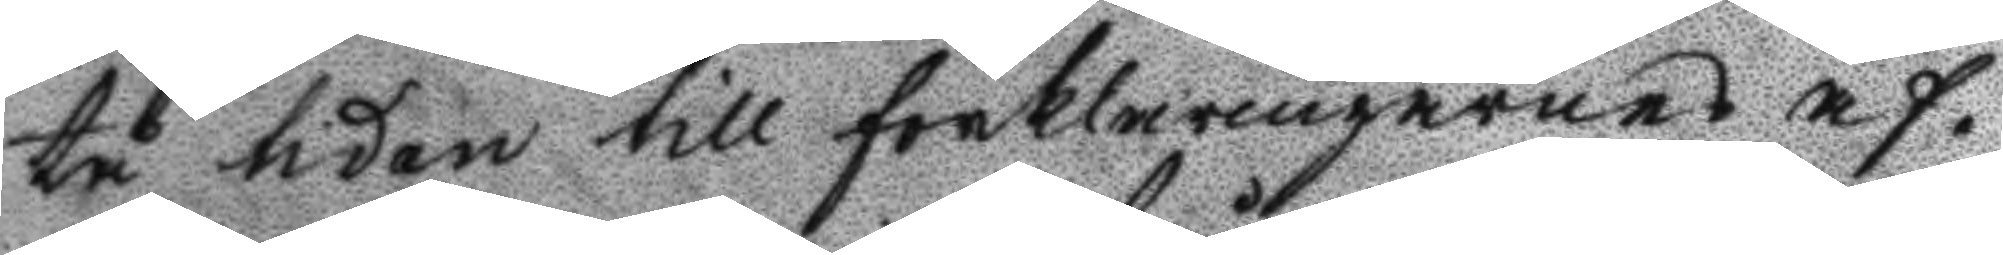tå tiden till förklaringernes af¬
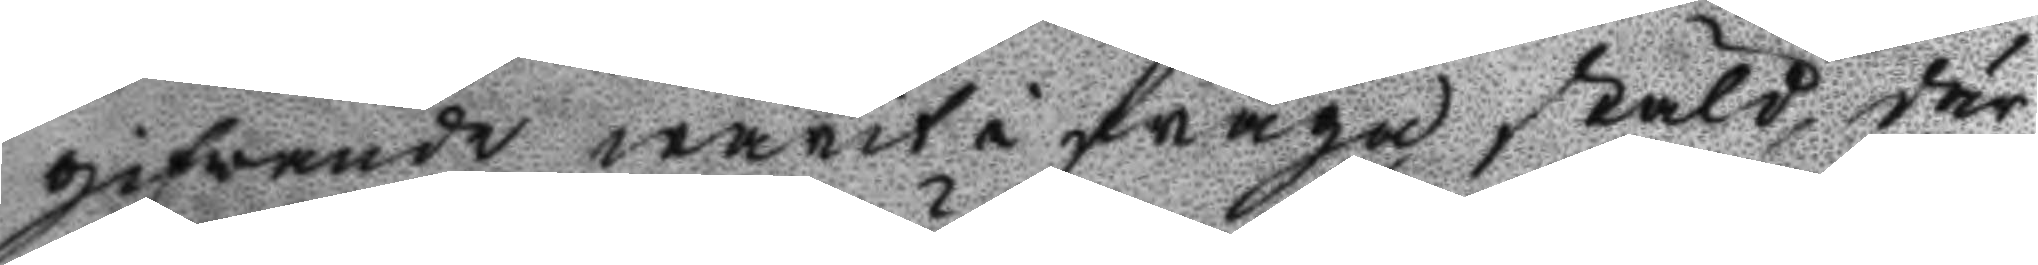gifwande warit i fråga stäld, där¬
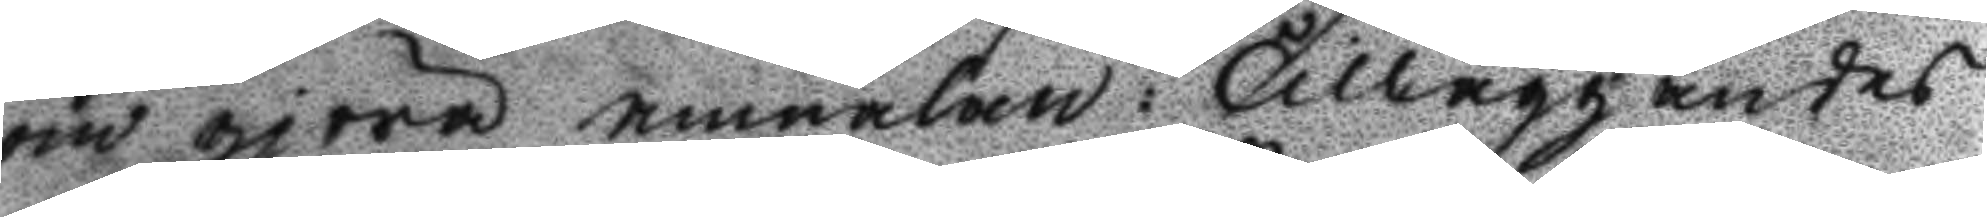om gjöra anmälan: Tilläggandes
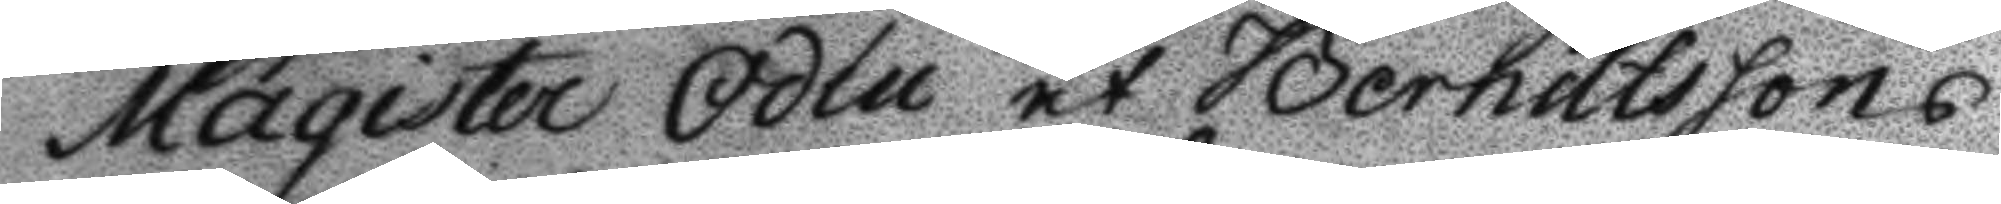Magister Odén at Berndtssons
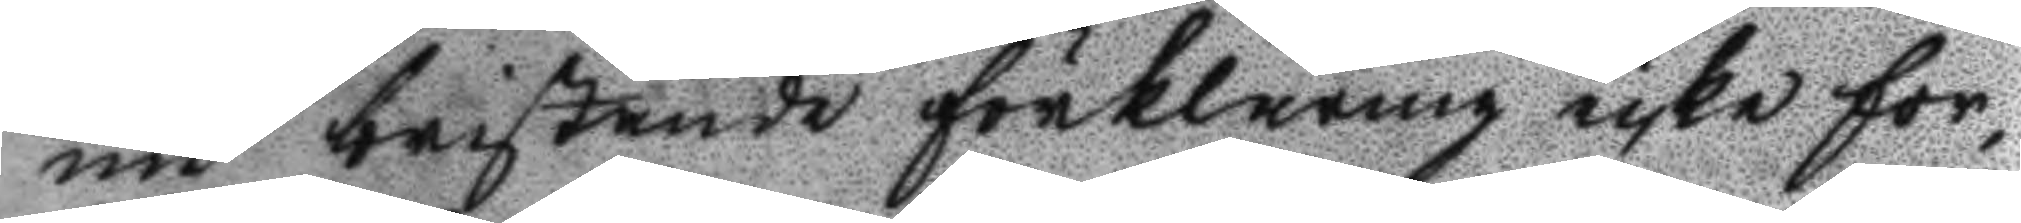nu bristande förklaring icke for¬
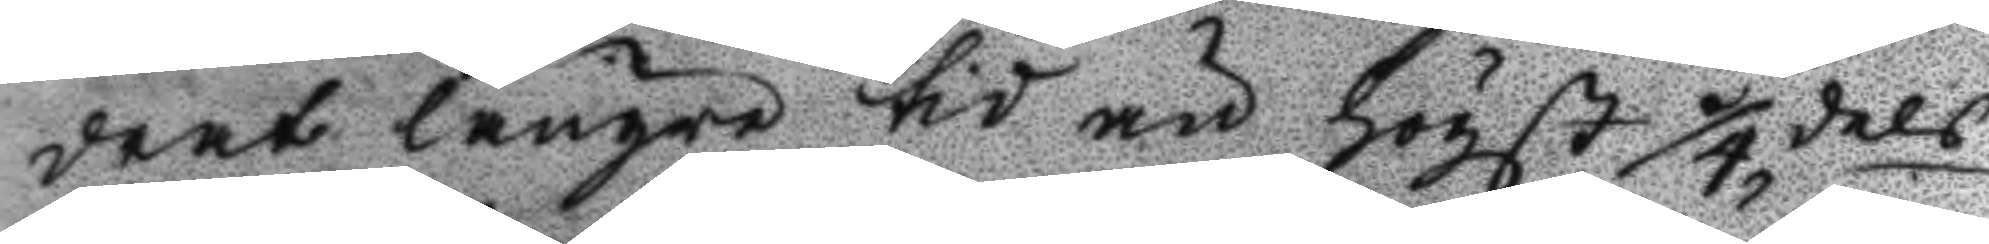drat längre tid än högst 1/4 dels
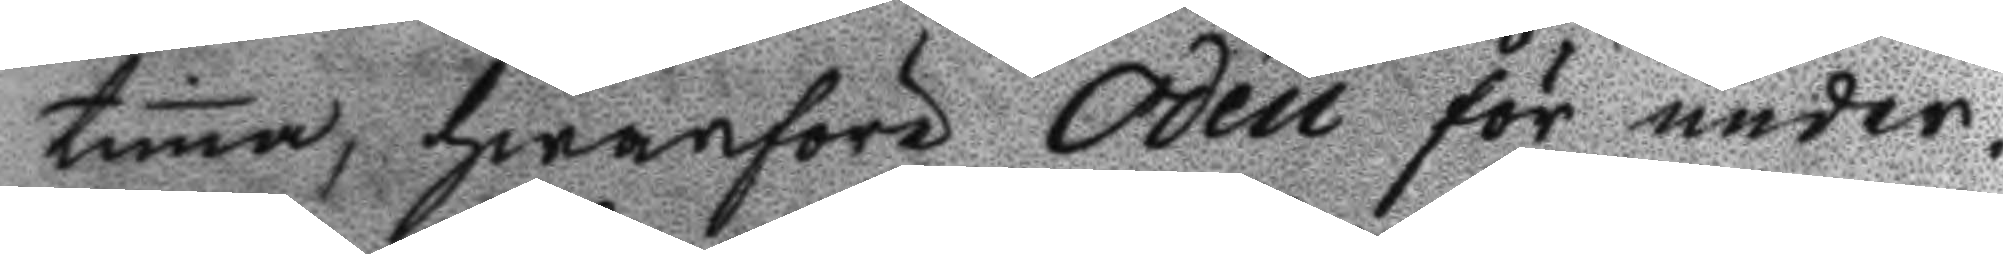tima, hwarföre Odén för under¬
